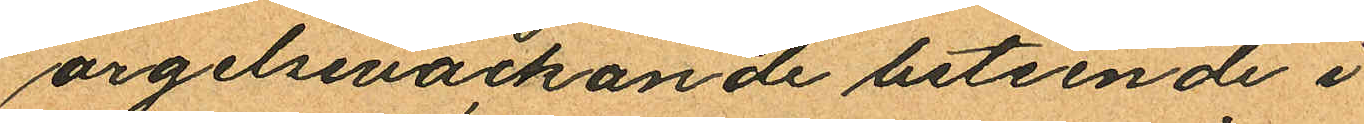argelseväckande beteende i
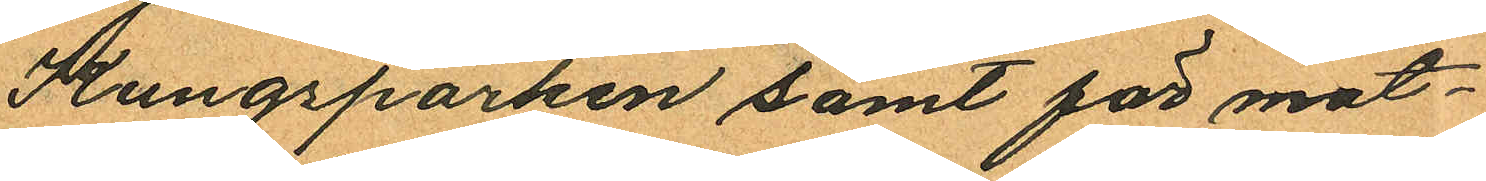Kungsparken samt för mot¬
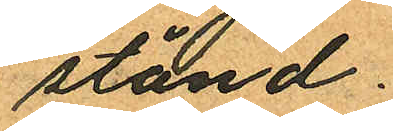stånd.
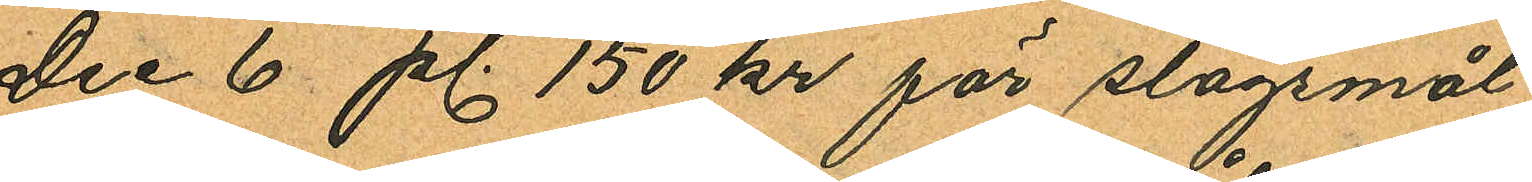Dec 6 pl. 150 kr för slagsmål
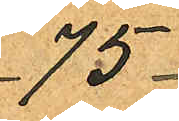75
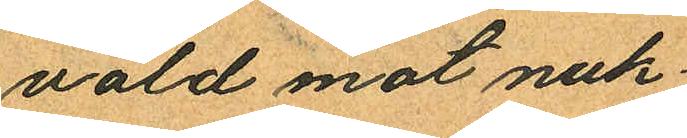våld mot nuk¬
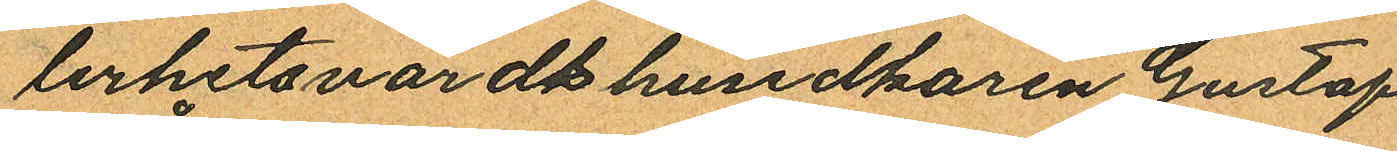lerhetsvärdshusidkaren Gustaf
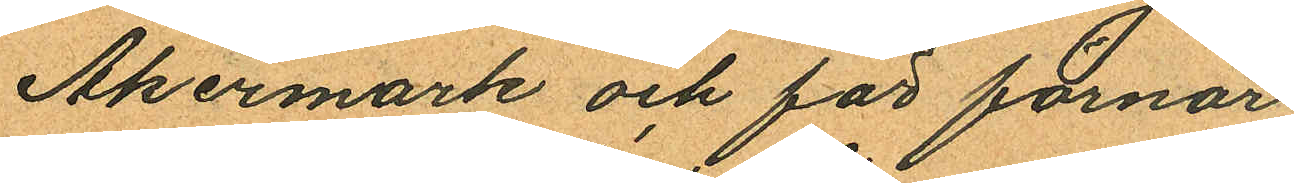Åkermark och för förnär¬
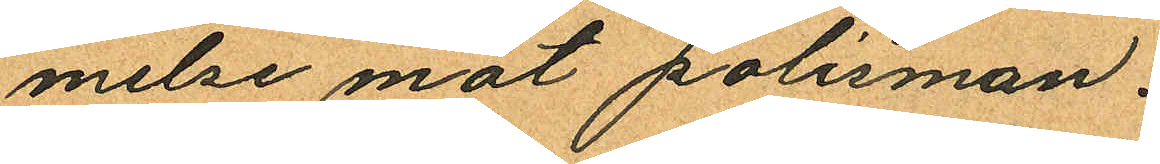melse mot polisman.
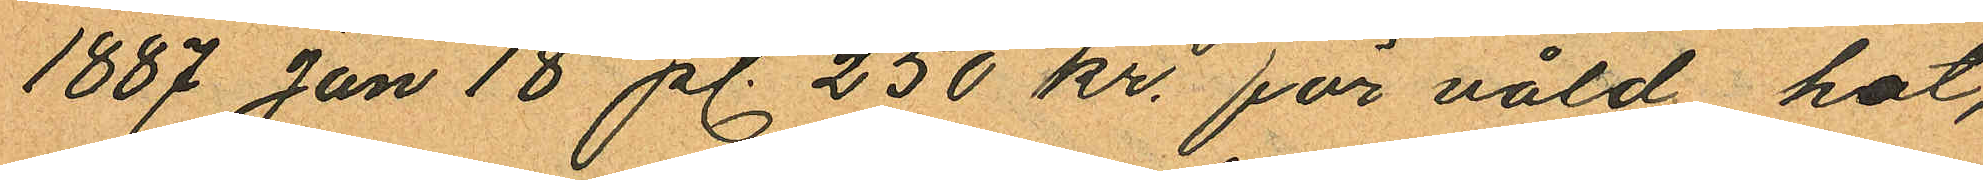1887 Jan 18 pl. 250 kr. för våld hot,
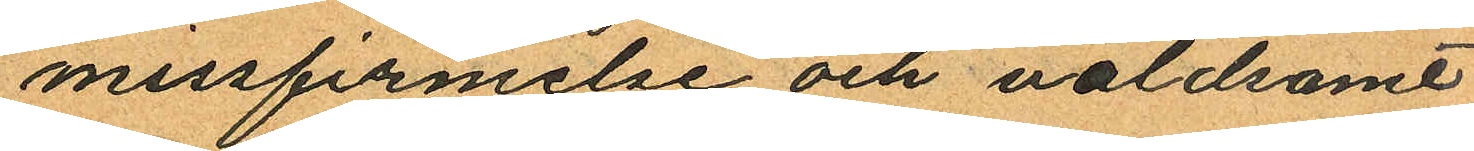missfirmelse och våldsamt
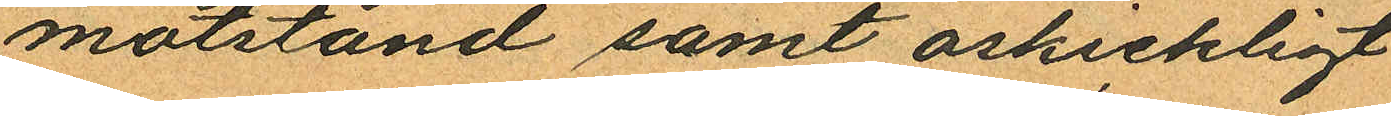motstånd samt oskickligt
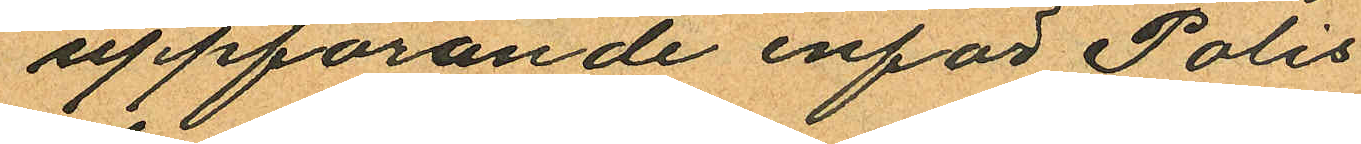uppförande inför Polis¬
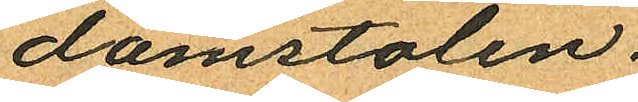domstolen.
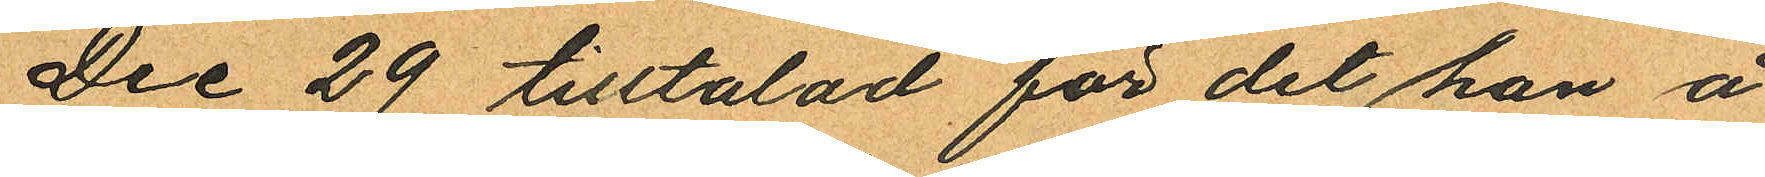Dec 29 tilltalad för det han å
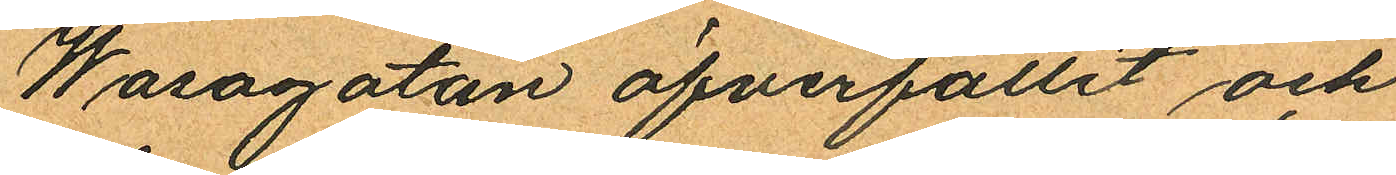Wasagatan öfverfallit och
